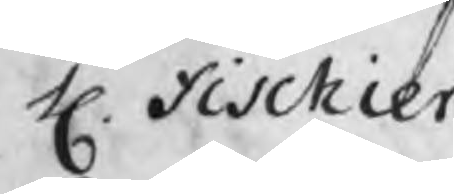H. Fischier
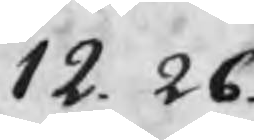12.26
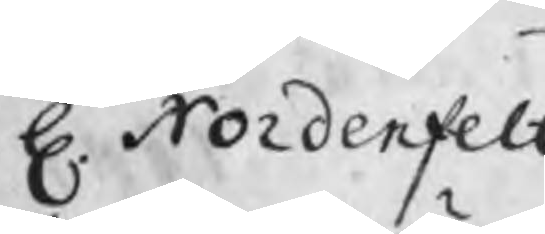H. Nordenfelt
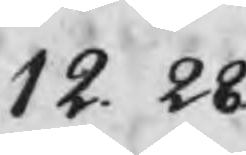12.28
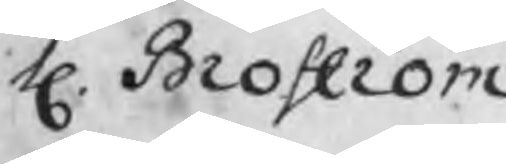H. Broström
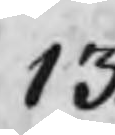13.
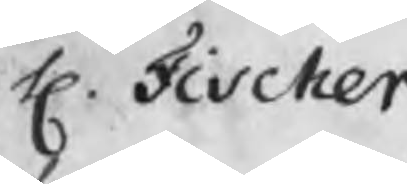H. Fischer
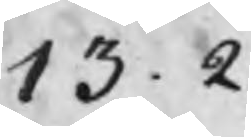13.2
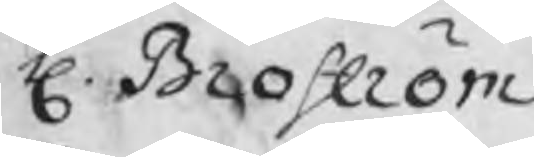H. Broström
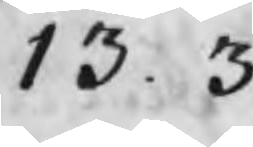13.3
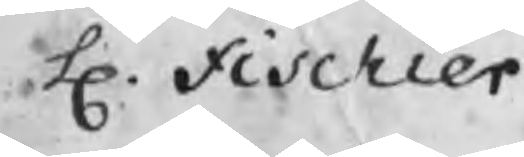H. Fischier
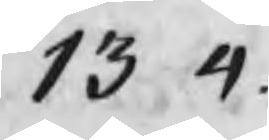13.4
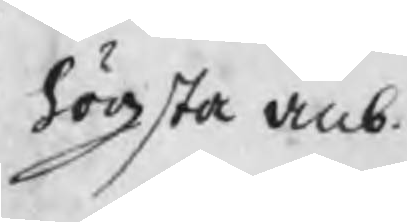högsta anb.
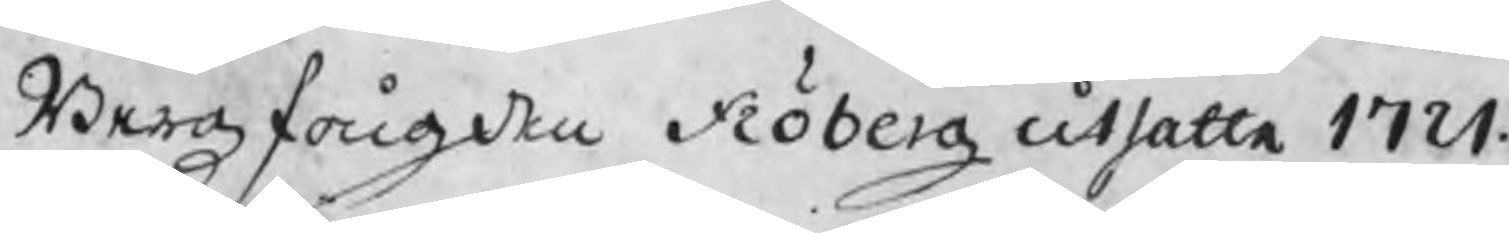Bergzfougden Fröberg utsatte 1721
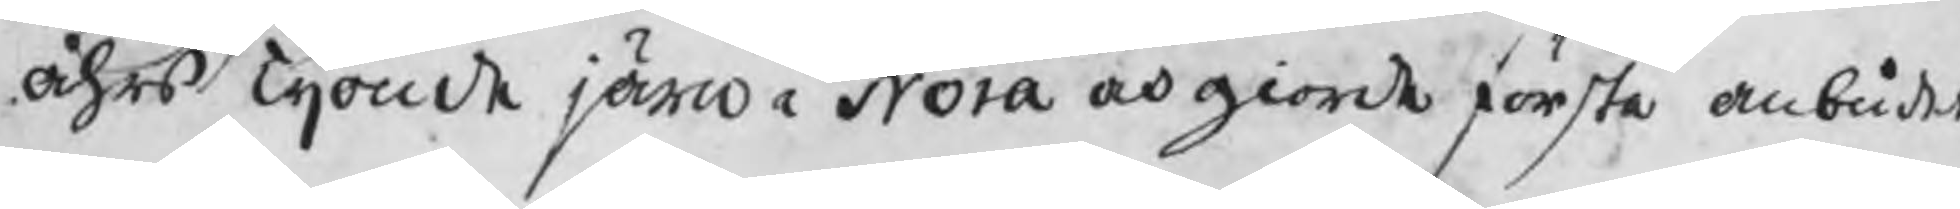åhrs Tijonde järn i Nora och giorde första ambudet
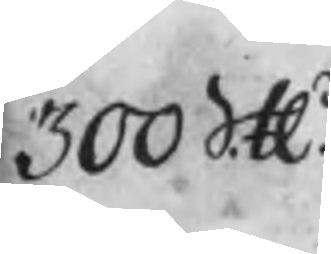300 SH
